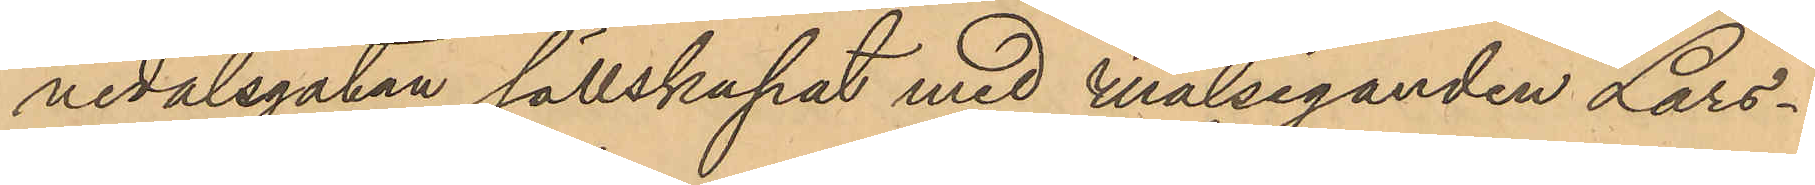nedalsgatan sällskapat med Målseganden Lars¬
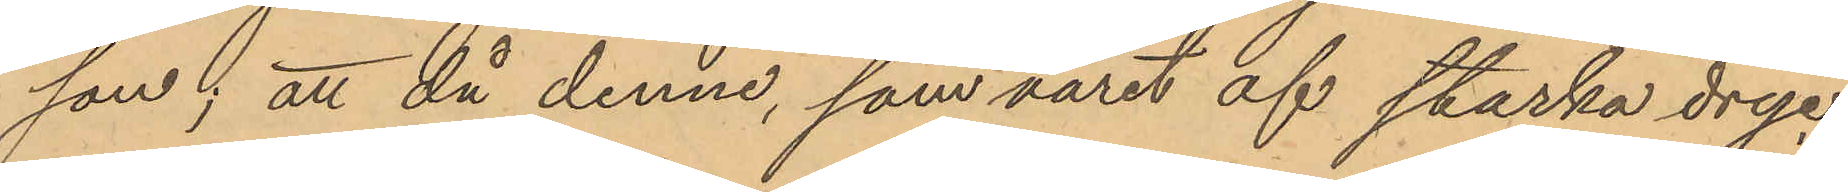son; att då denne, som varit af starka dryc¬
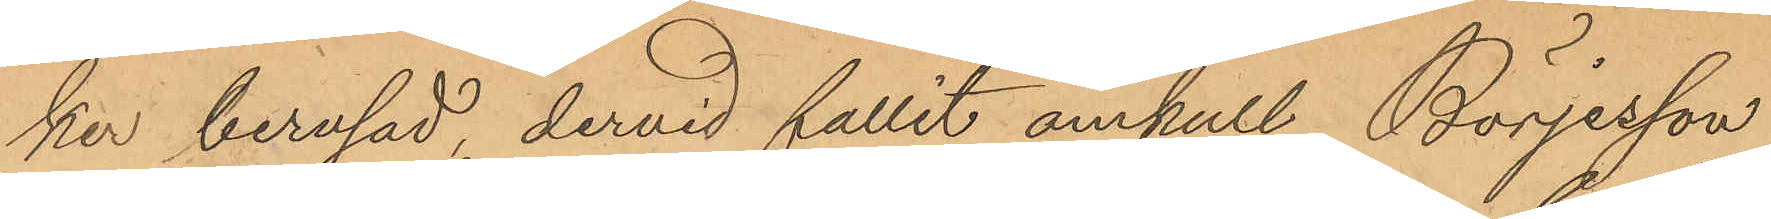ker berusad, dervid fallit omkull, Börjesson
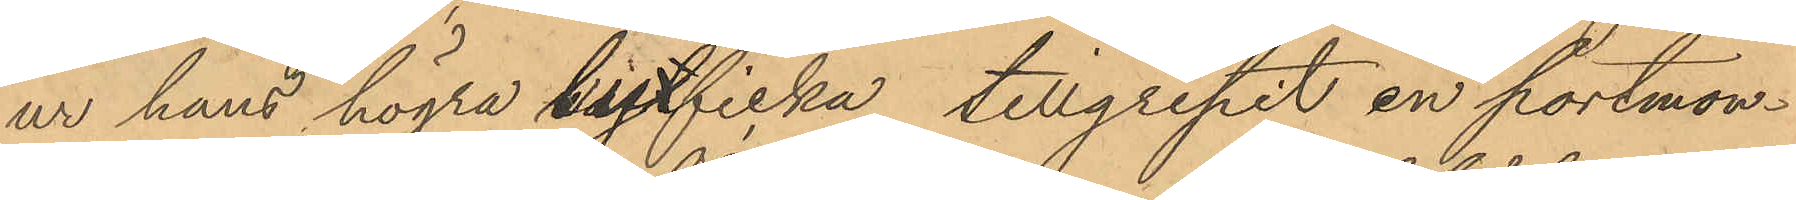ur hans högra byxficka tillgripit en portmon¬
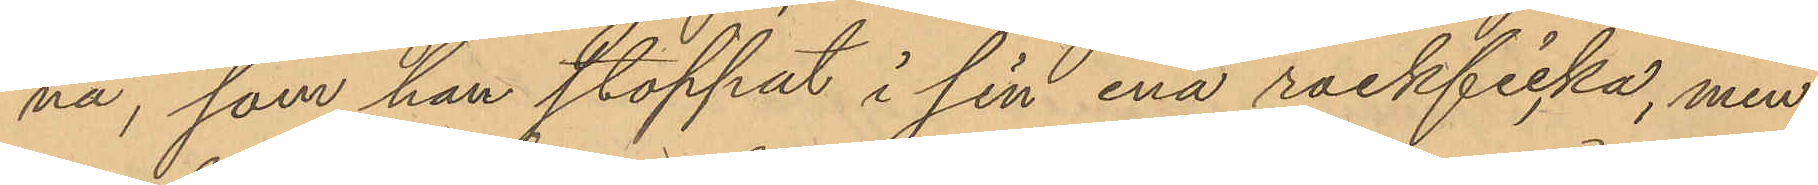nä, som han stoppat i sin ena rockficka, men
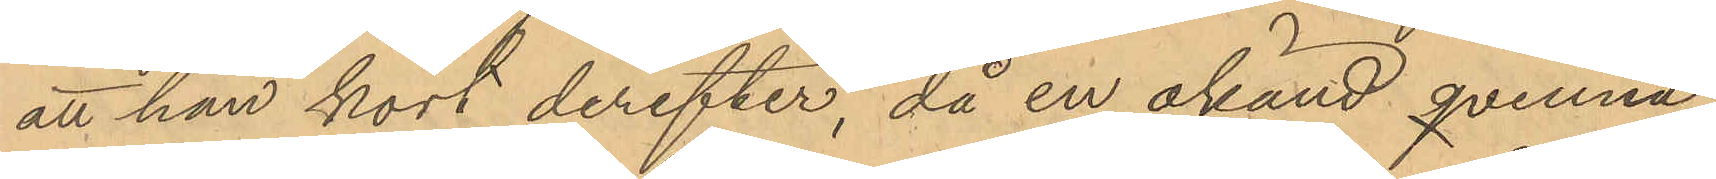att han kort derefter, då en okänd qvinna,
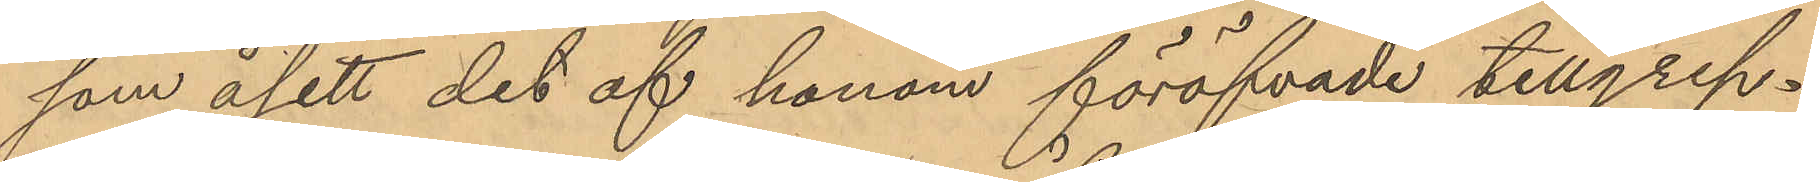som åsett det af honom föröfvade tillgrep¬
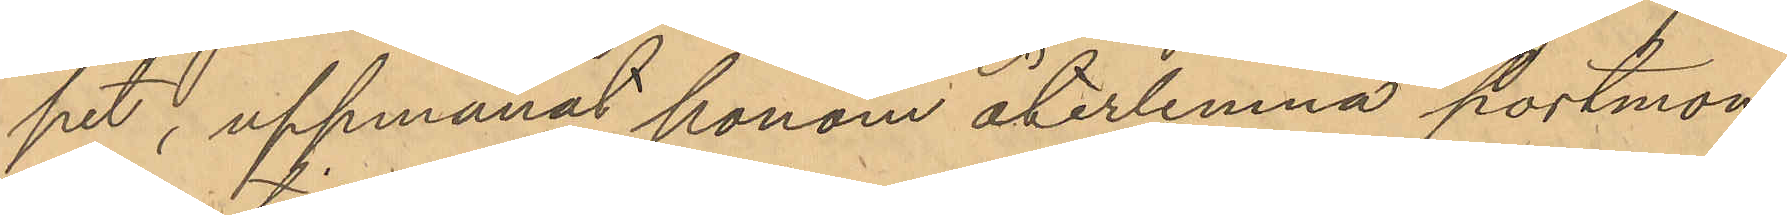pet, uppmanat honom återlemna portmon¬
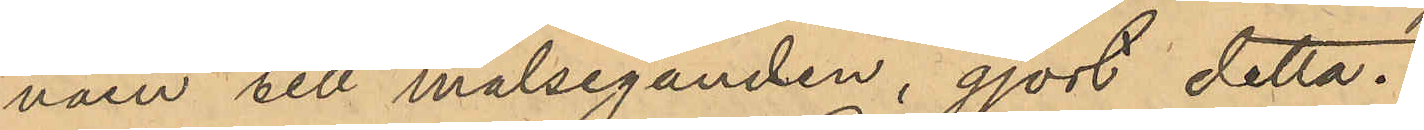näen till målseganden, gjort detta.
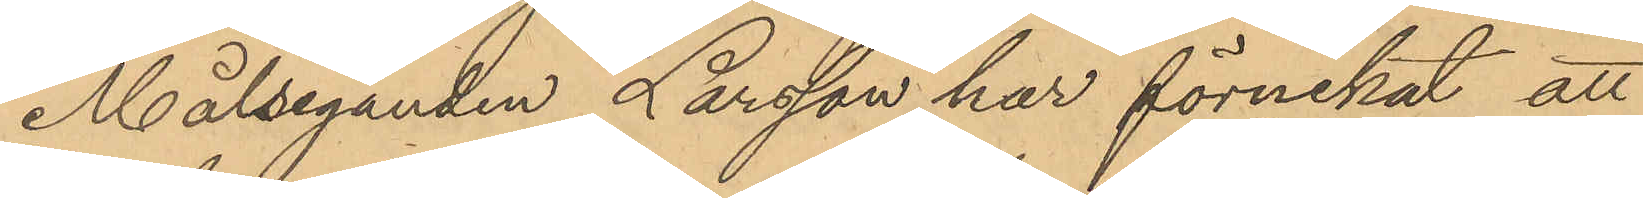Målseganden Larsson har förnekat att
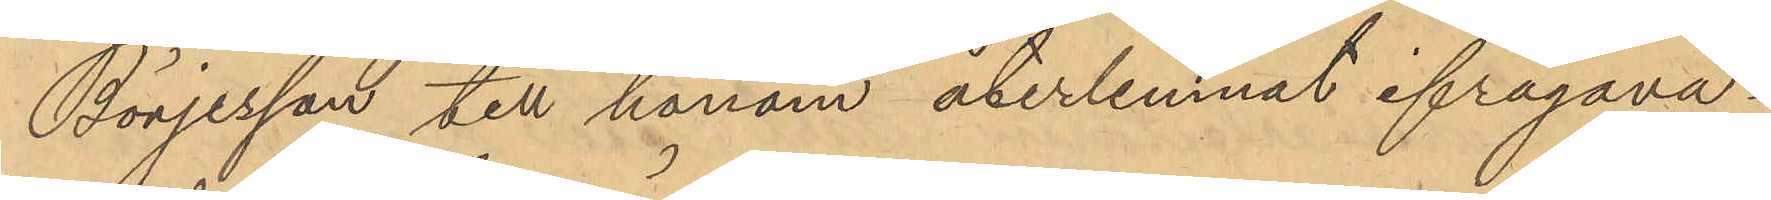Börjesson till honom återlemnat ifrågava¬
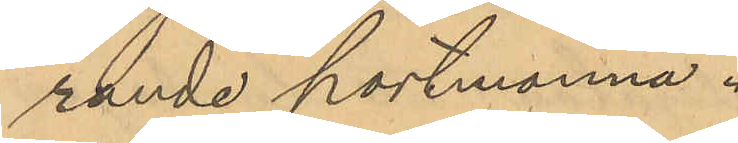rande portmonnä.
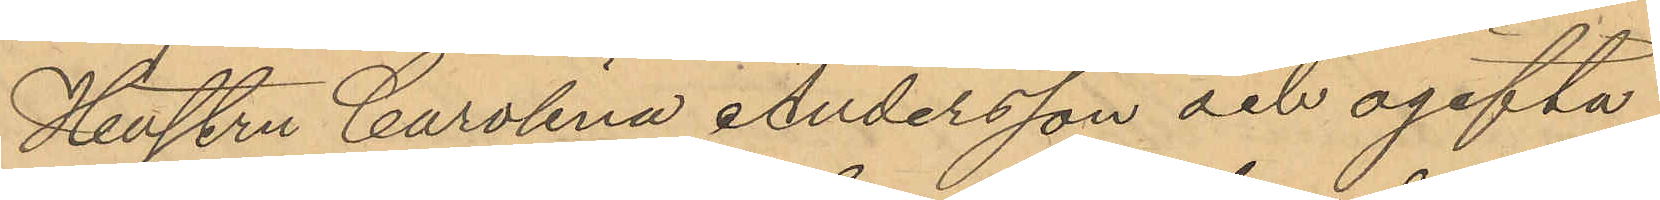Hustru Carolina Andersson och ogifta
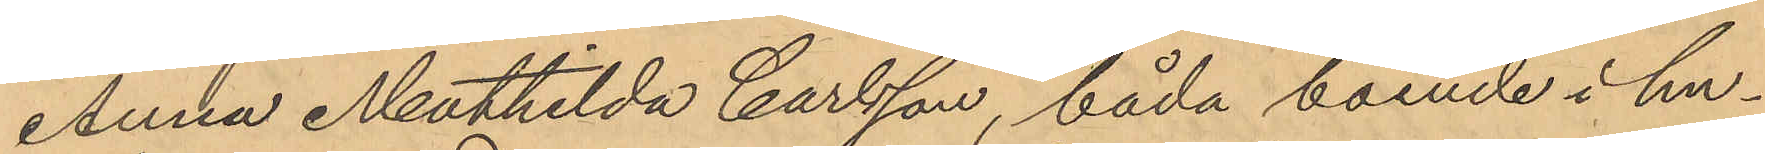Anna Mathilda Carlsson, båda boende i hu¬
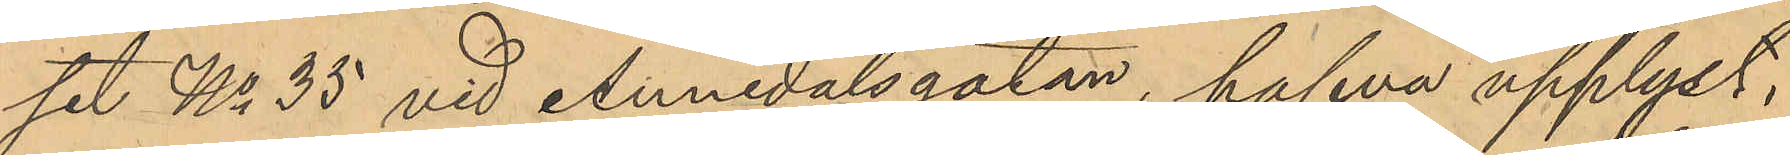set No 35 vid Annedalsgatan, hafva upplyst,
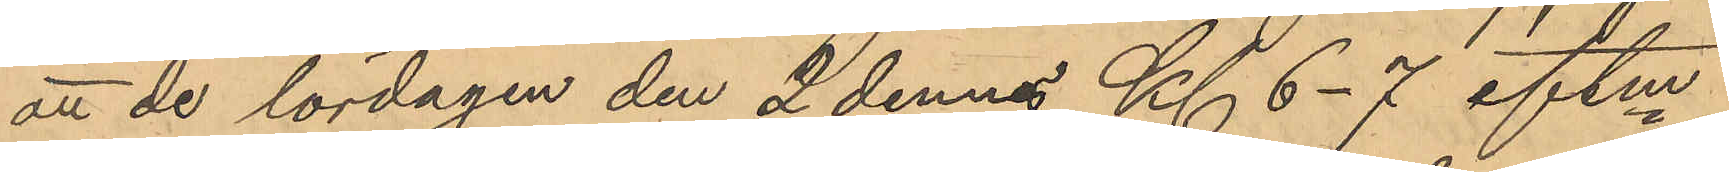att de lördagen den 2 dennes Kl. 6-7 eftm.
